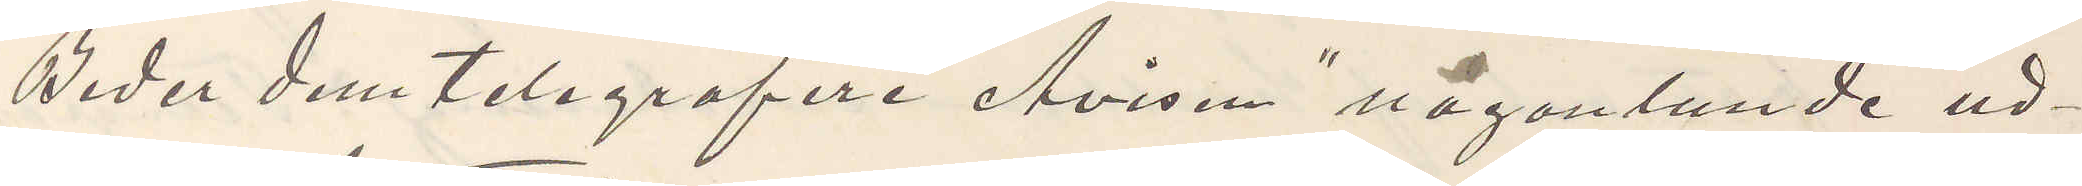Beder dem telegrafere "Avisen" någonlunde ud¬
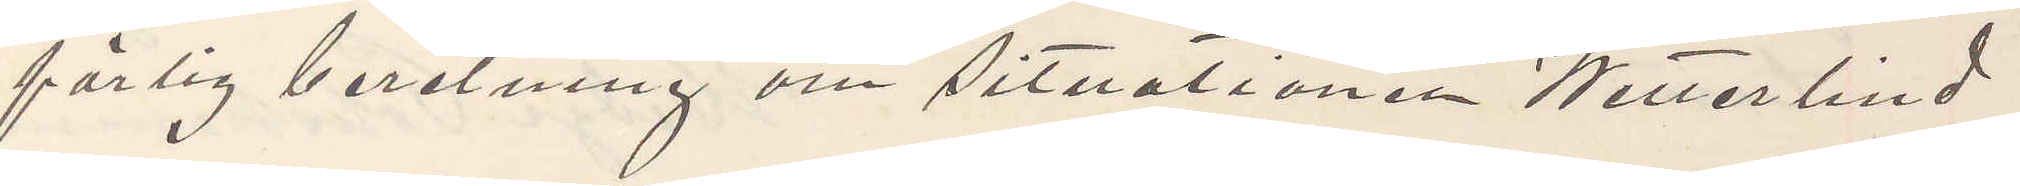forlig beretning om situationen Wetterlind
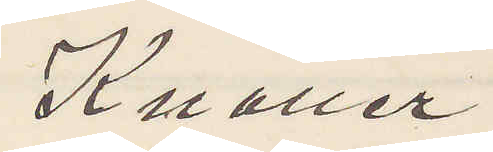Knaller
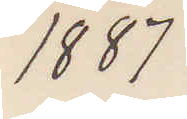1887
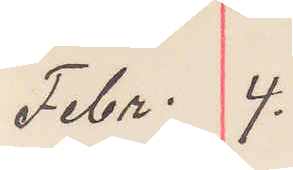Febr. 4.
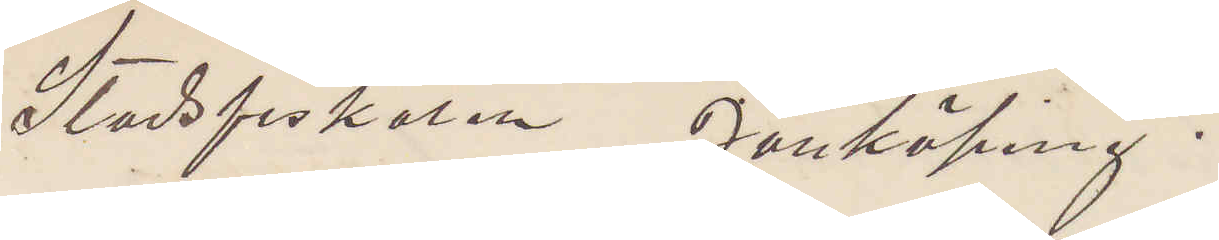Stadsfiskalen Jönköping;
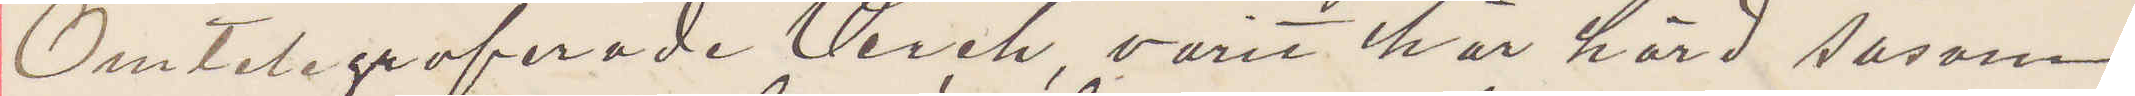Omtelegraferade Verch, varit här hörd såsom
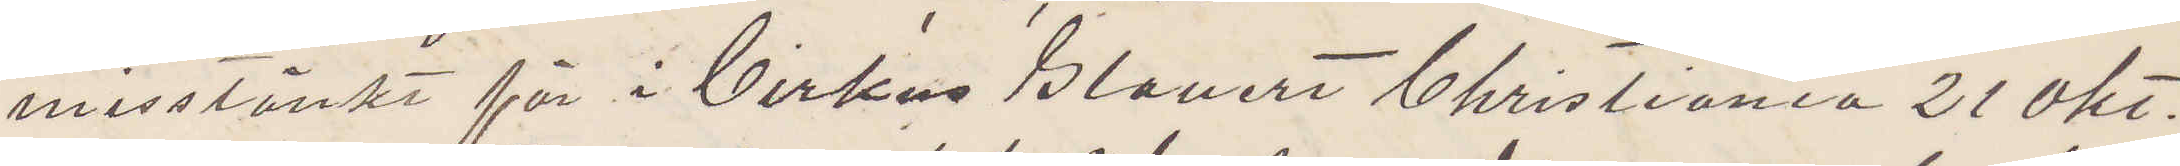misstänkt för i Cirkus Blouert Christiania 21 okt.
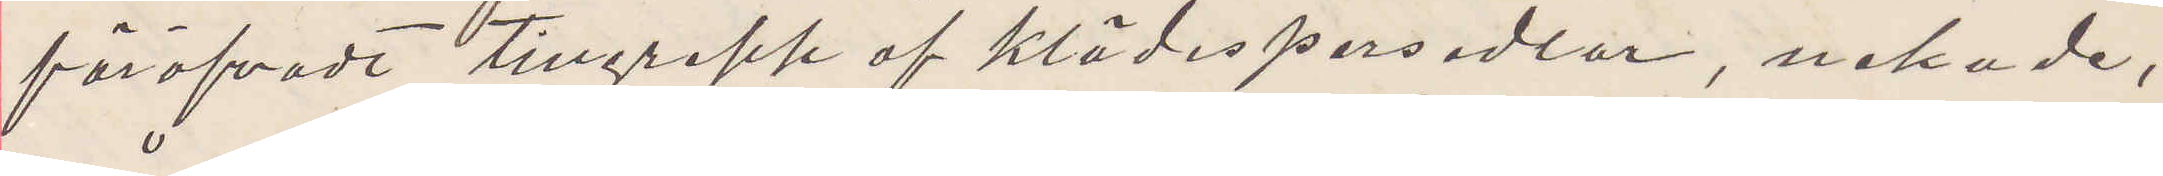föröfvadt tillgrepp af klädespersedlar, nekade,
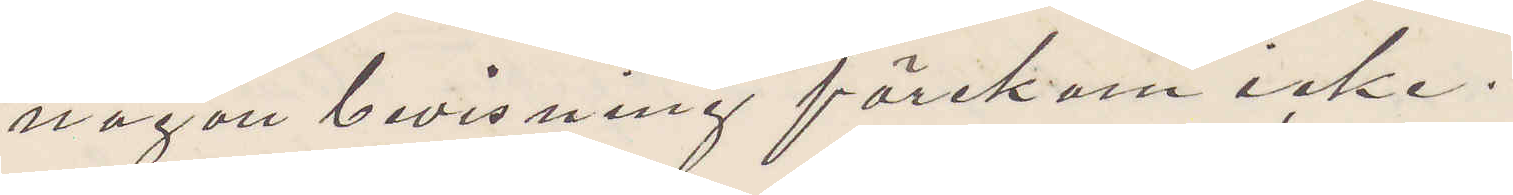någon bevisning förekom icke.
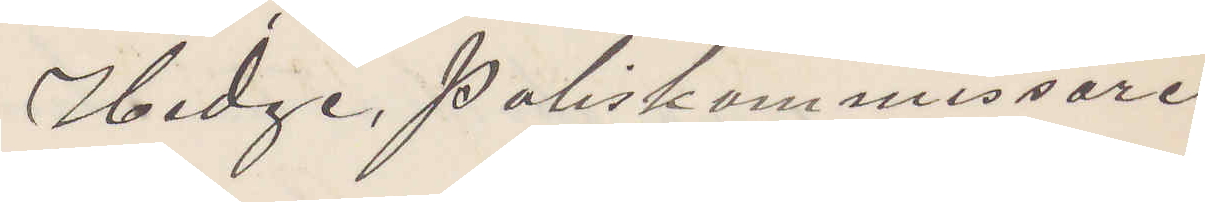Hedge, Poliskommissarie
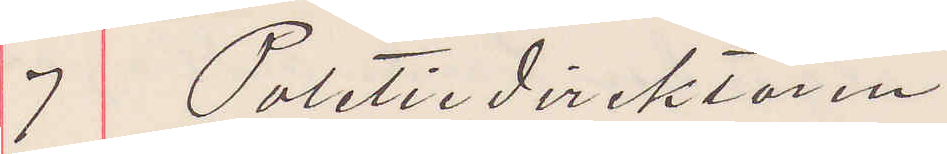7 Politiedirektören
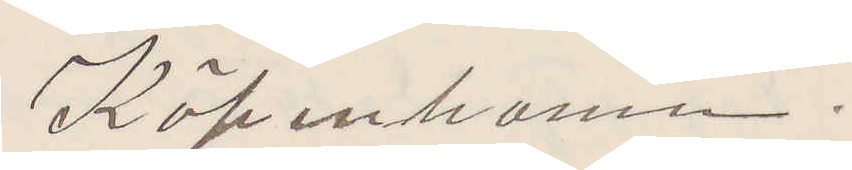Köpenhamn.
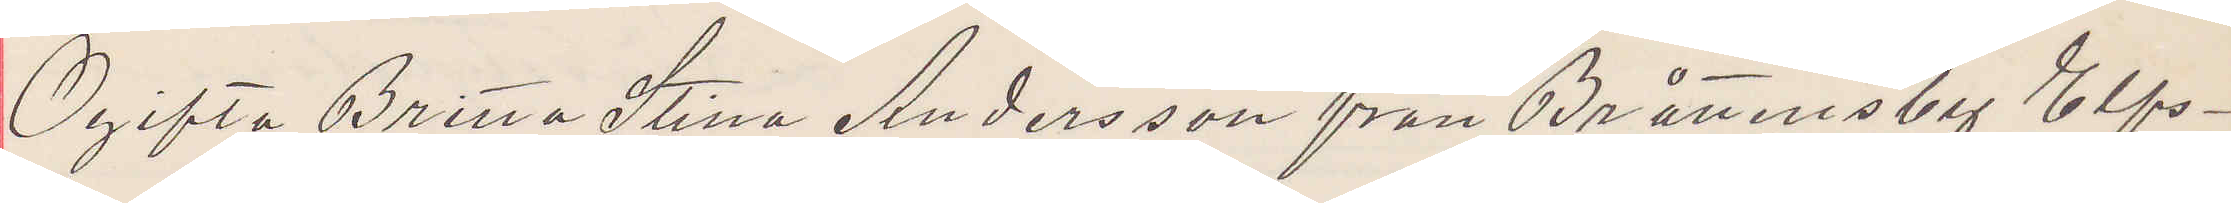Ogifta Britta Stina Andersson från Bråttensby Elfs¬
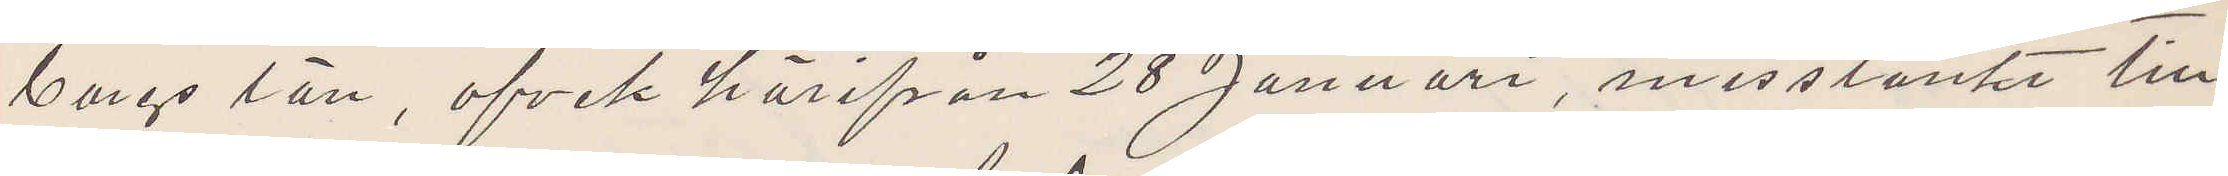borgs län, afvek härifrån 28 Januari, misstänkt till¬
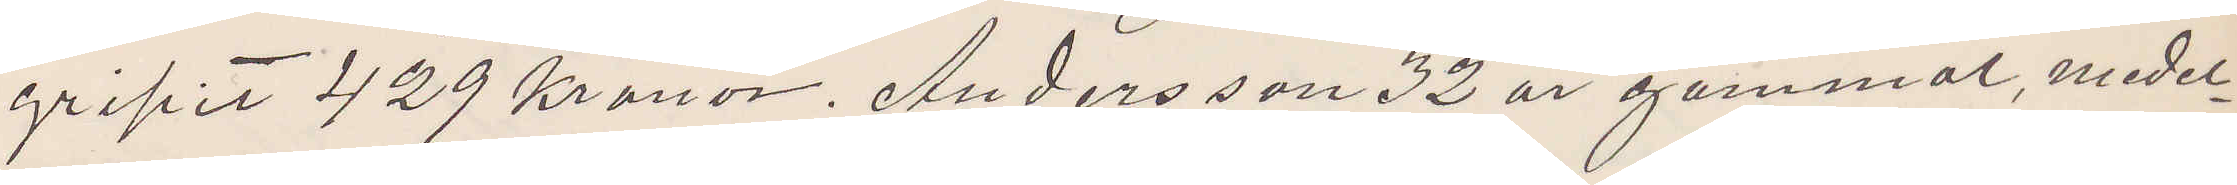gripit 429 Kronor. Andersson 32 år gammal, medel¬
